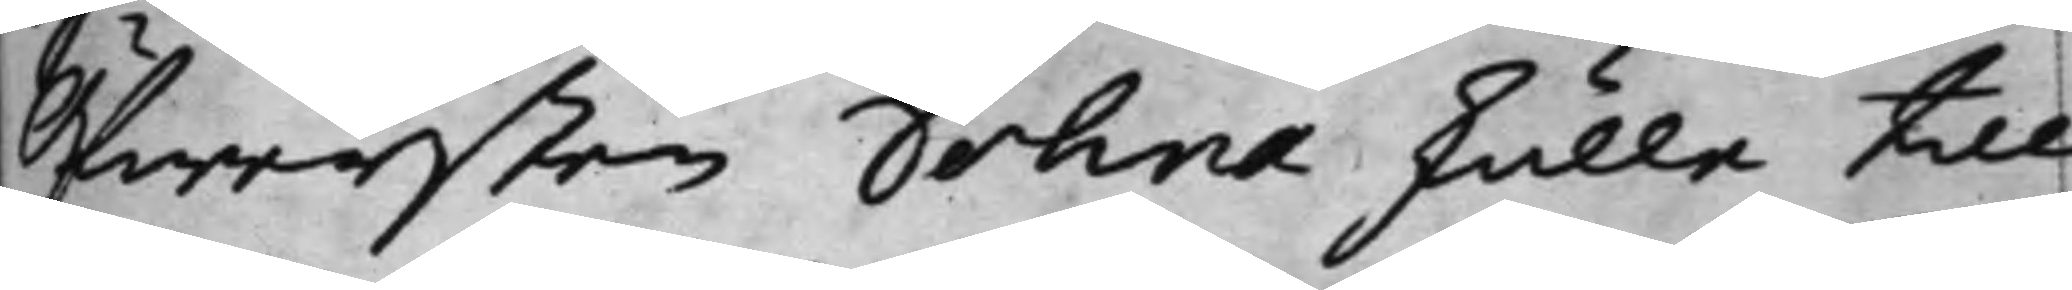Öfwersten Dohna skulle till¬
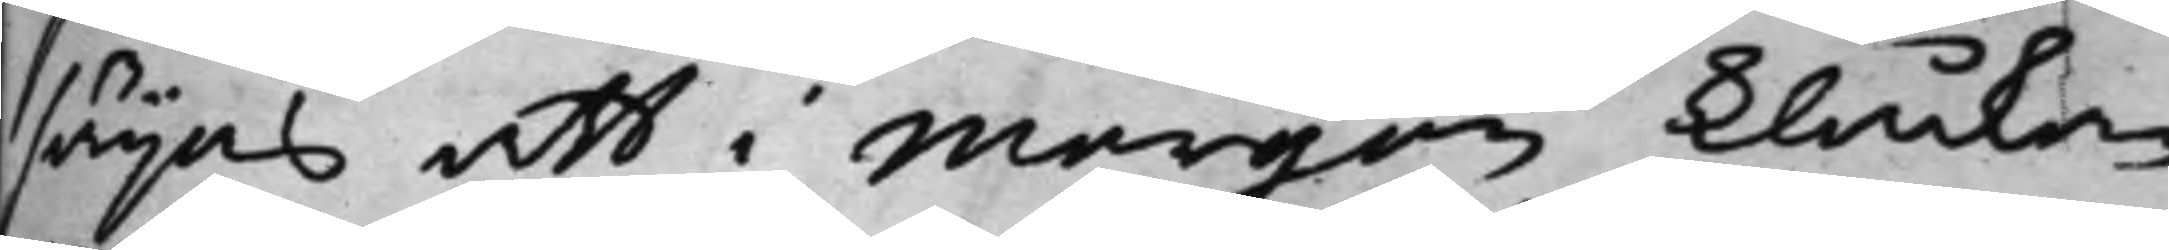sägas att i morgon Klåckan
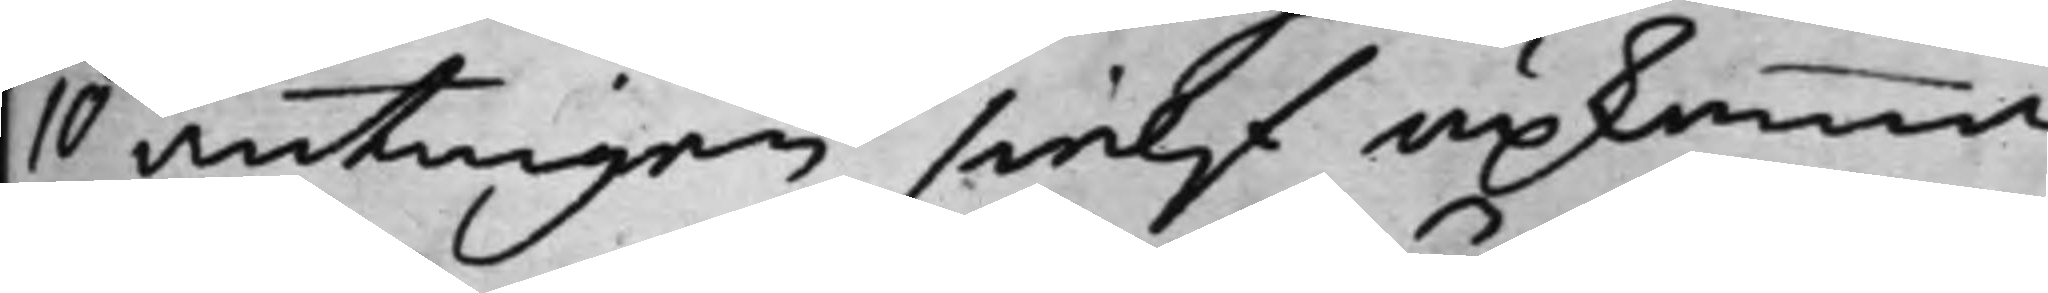10 antingen sielf upkomma
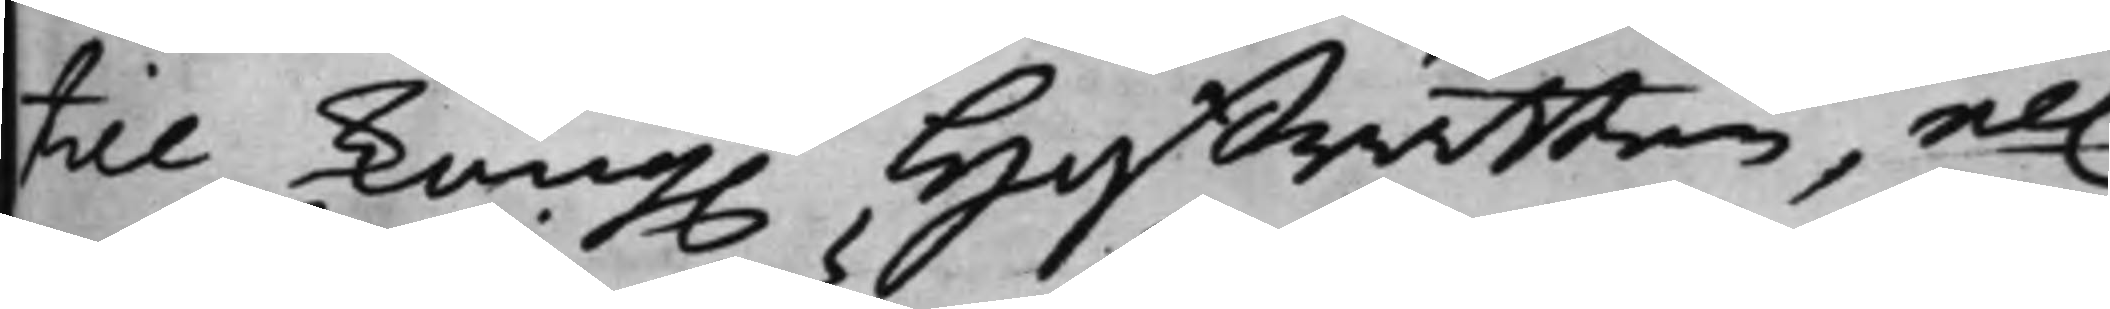till Kong. Hoffrätten, el.
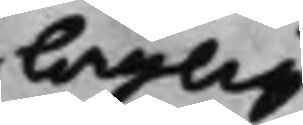laglig
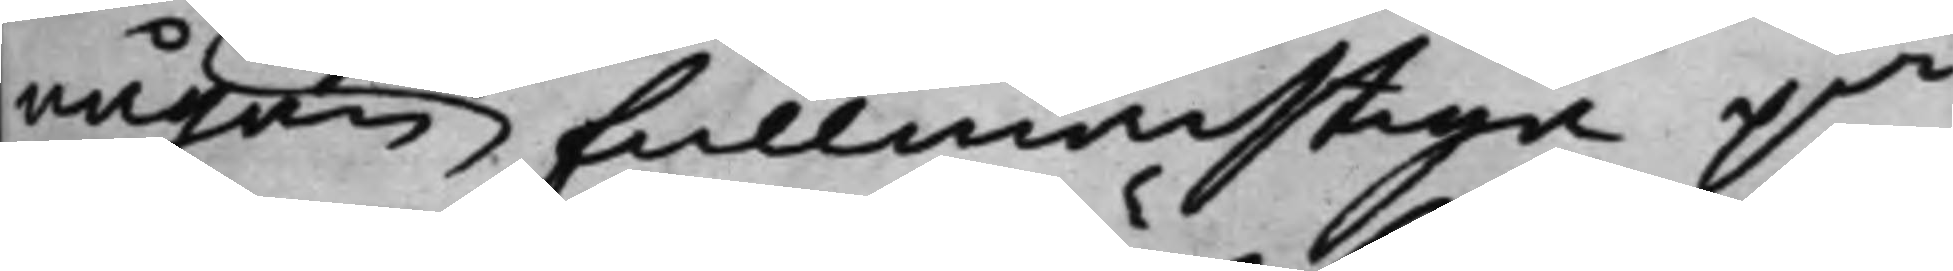någon fullmächtige på
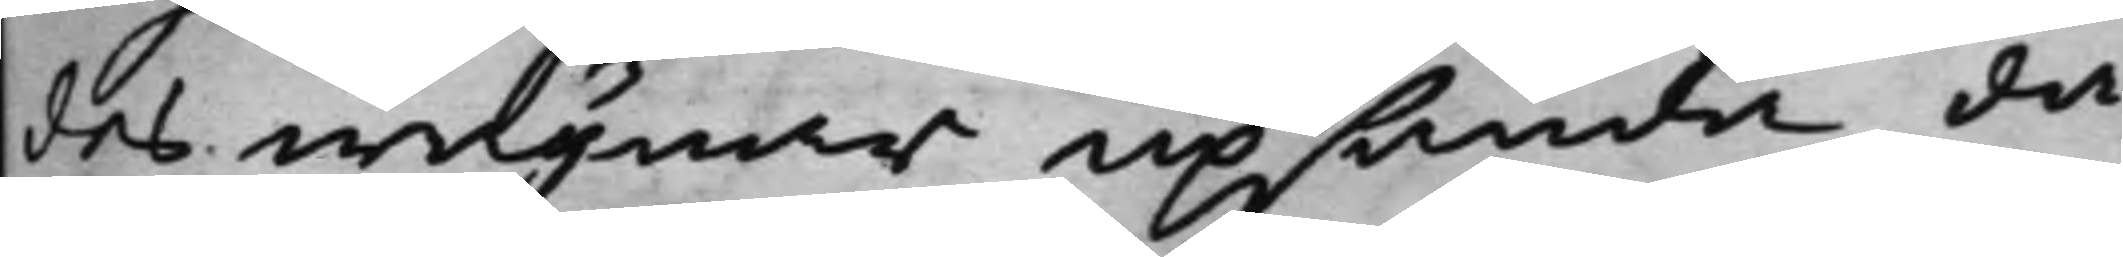des wägnar upsända, då
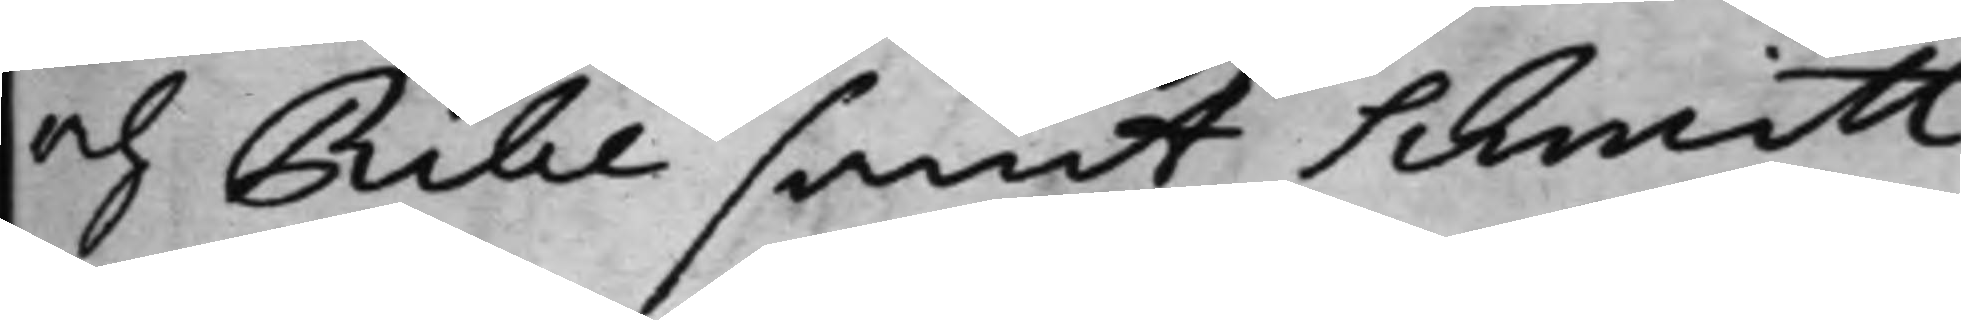och Ribe samt Schmitt
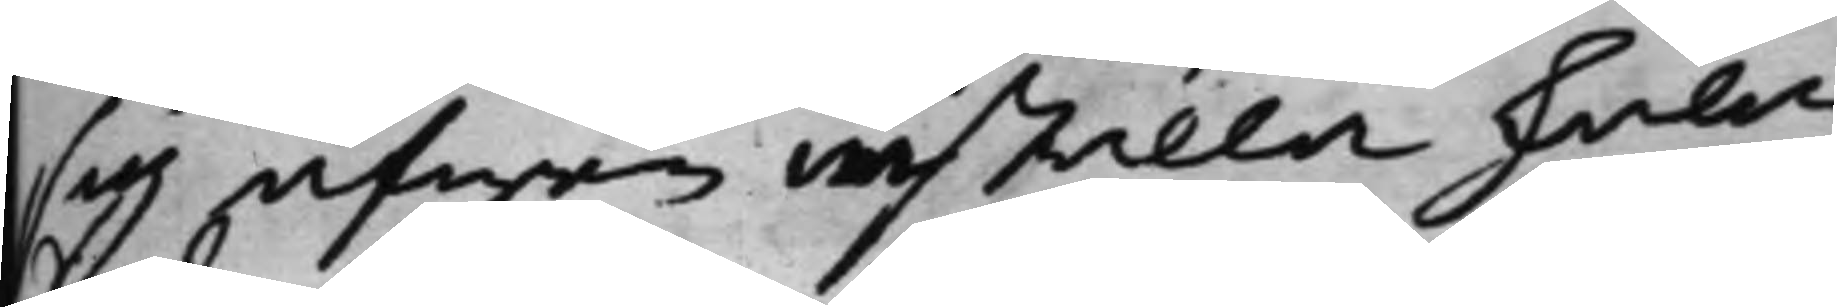sig äfwen inställa skola.
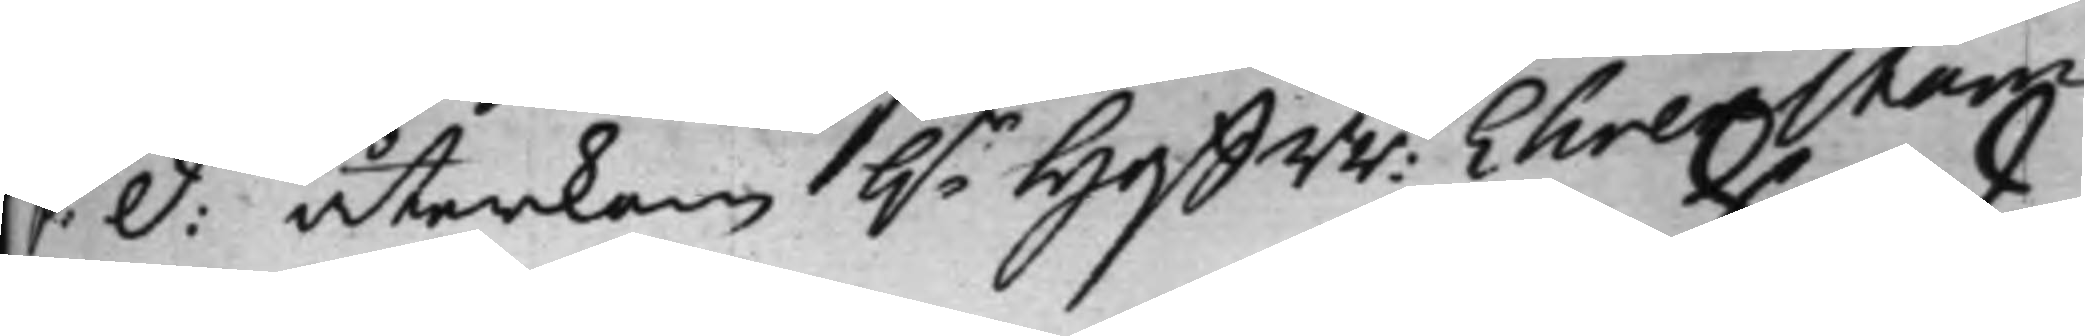S: d: återkom h.r HoffRr: Ehrenstam
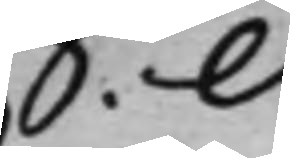S: d:
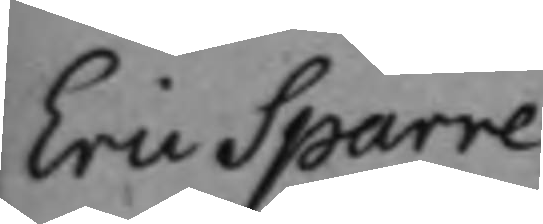Eric Sparre
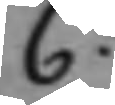C:
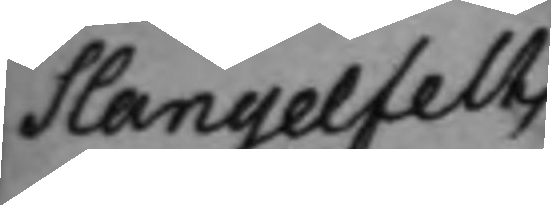Slangelfelts
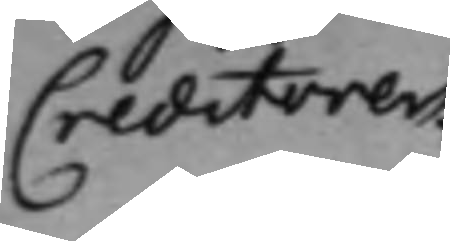Creditorer.
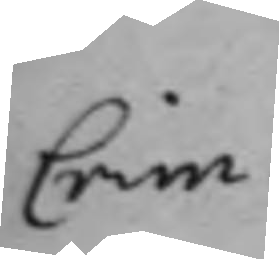Crim:
